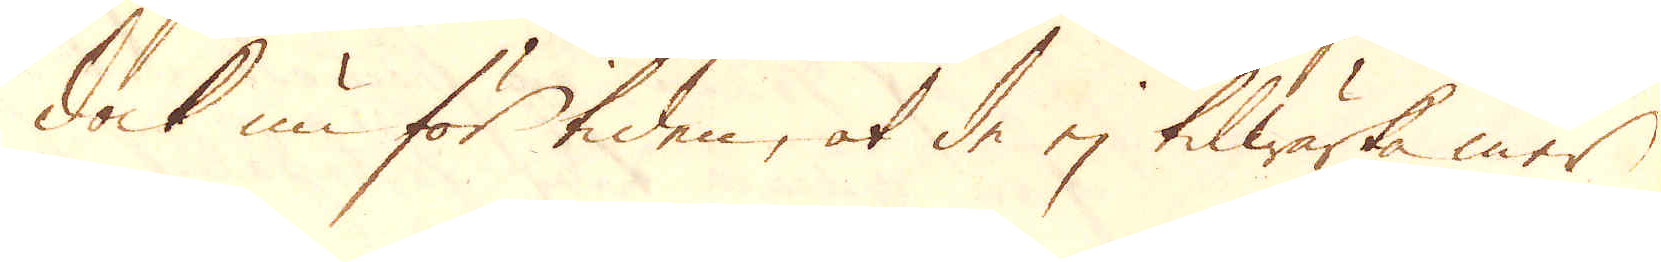dock nu för tiden, at de ej tilwärka mer
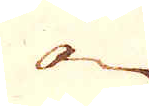än
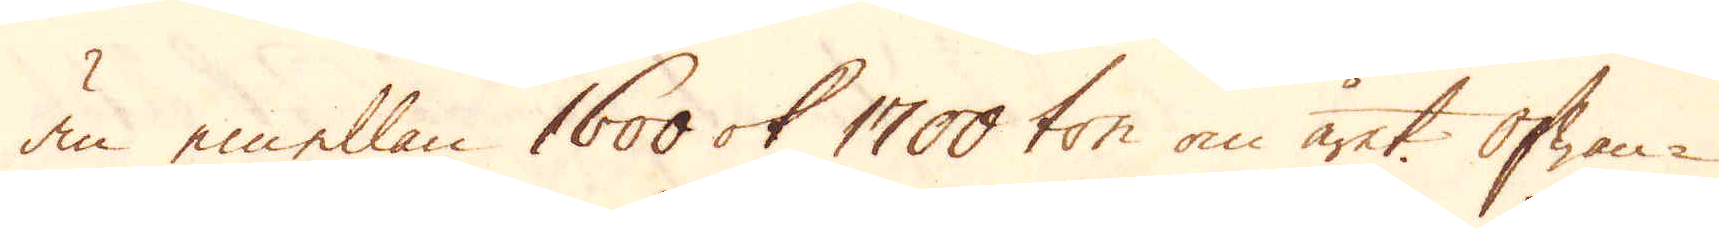än emellan 1600 ok 1700 ton om året. Ofwan-
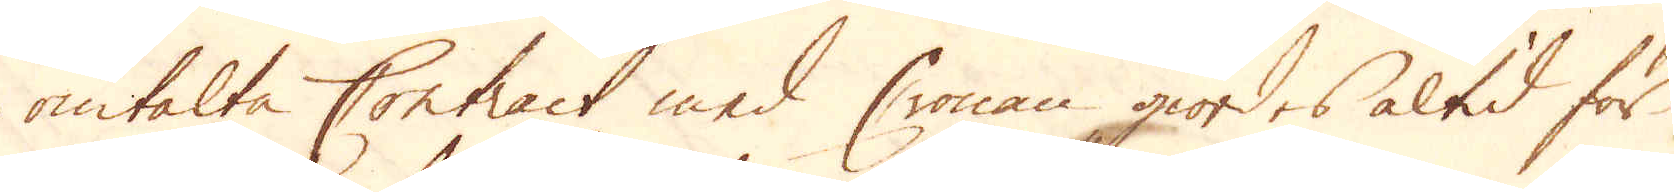omtalte Contract med Cronan giordes altid för
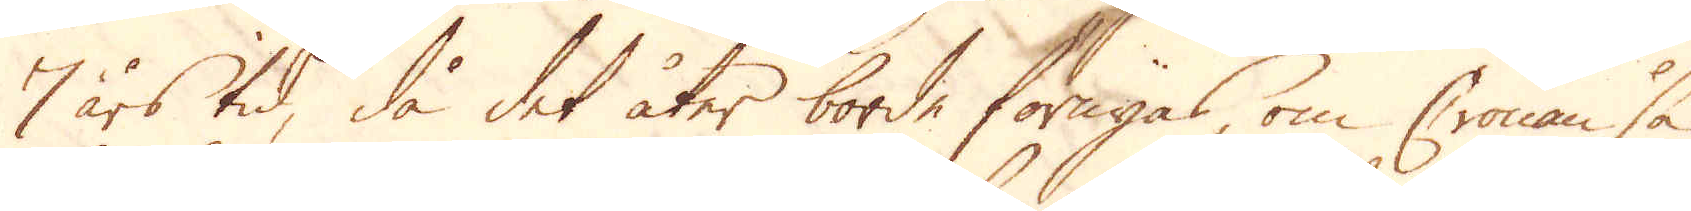7 års tid, då det åter borde förnyas om Cronan så
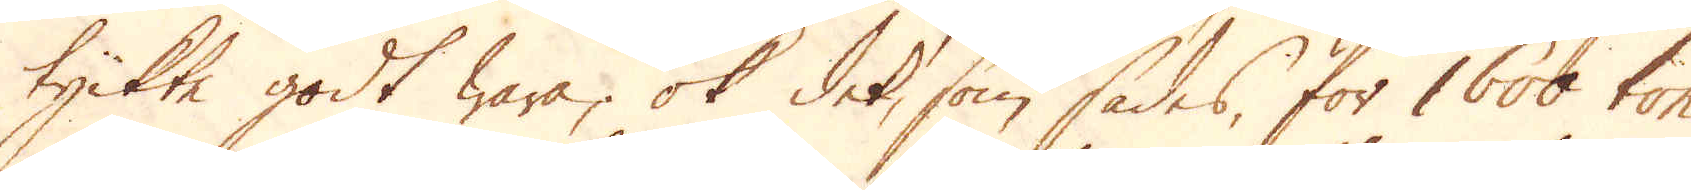tyckte godt wara; ok det, som sades, för 1600 ton
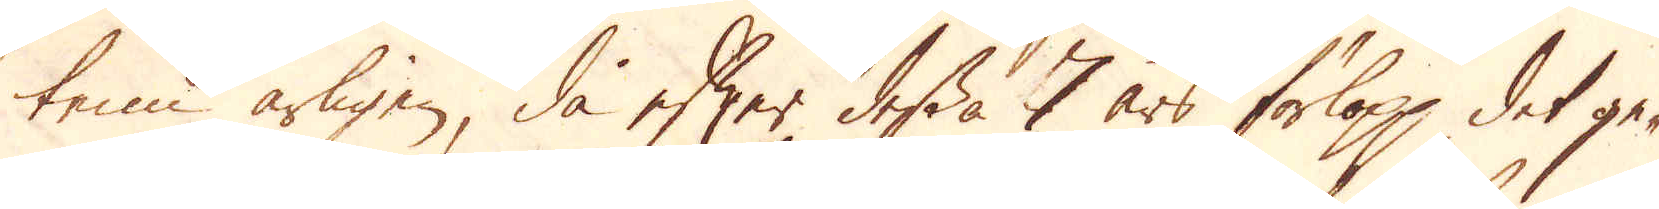tenn årligen, då efter dessa 7 års förlopp, det ge-
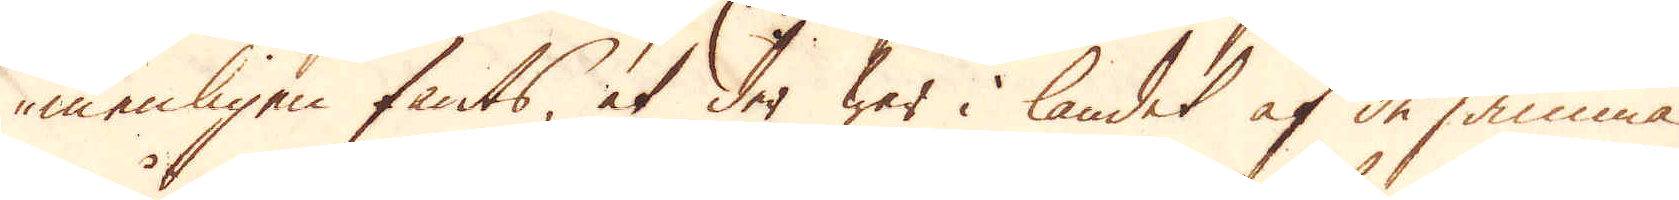menligen fants, at der war i landet af de samma
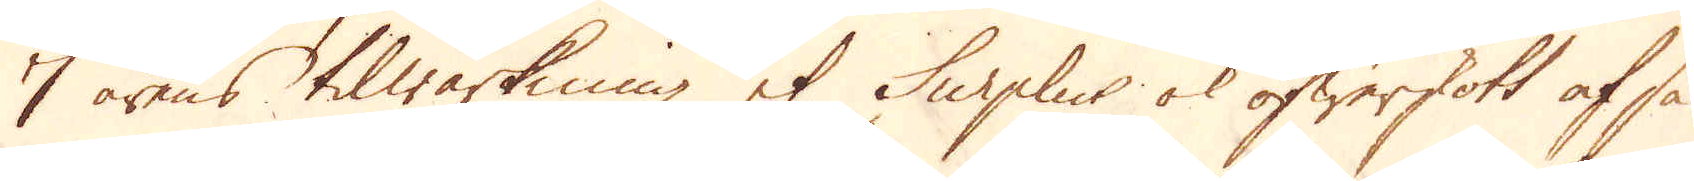7 årens tilwärkning et Surplus ok öfwerskott af så
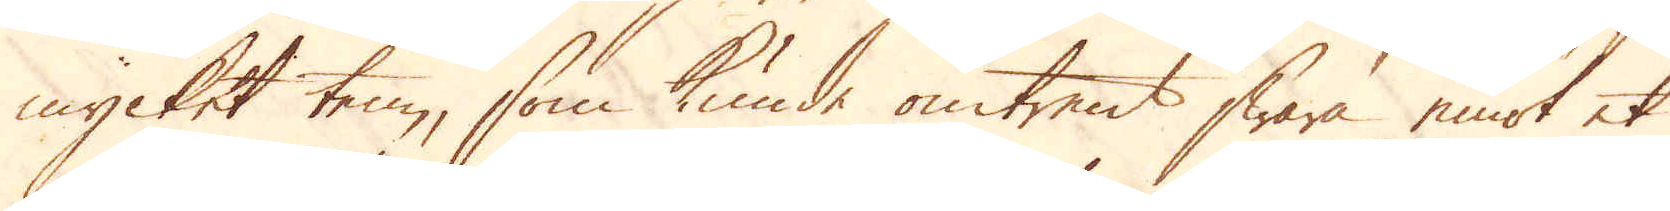mycket ten, som kunde omtrent swara emot et
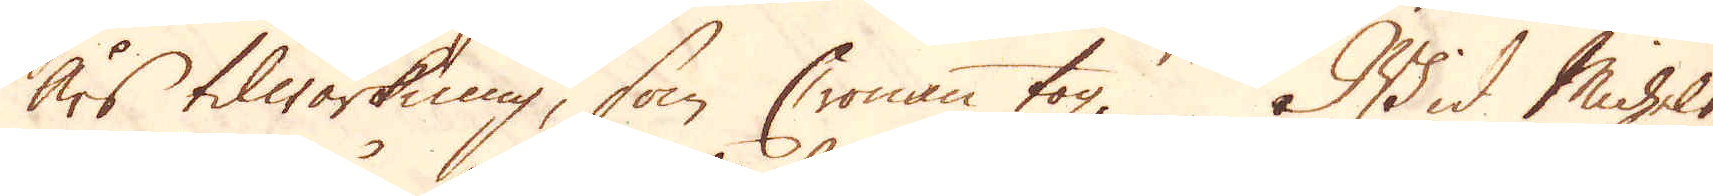års tilwärkning, som Cronan tog. Wid Michels-
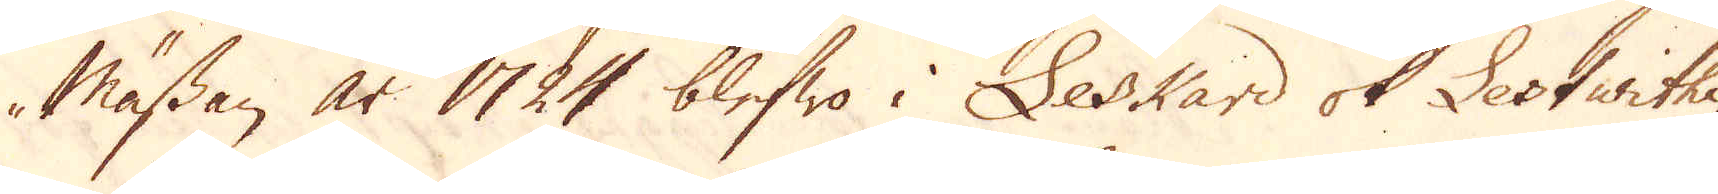mässan år 1724 blefwo i Leskard ok Lestwithi-
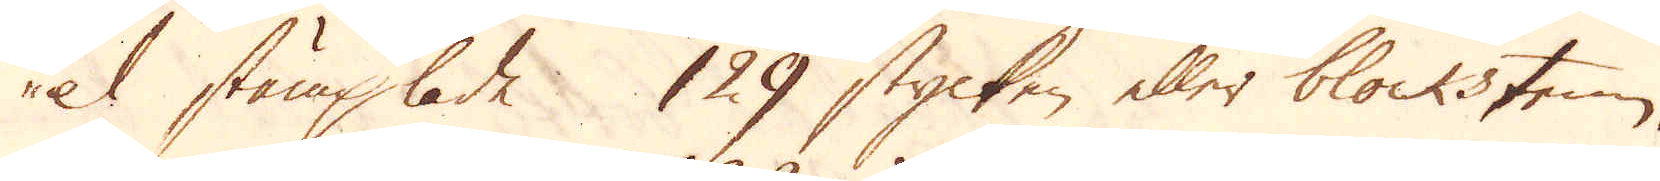el stämplade 129 stycken eller blockstenn.
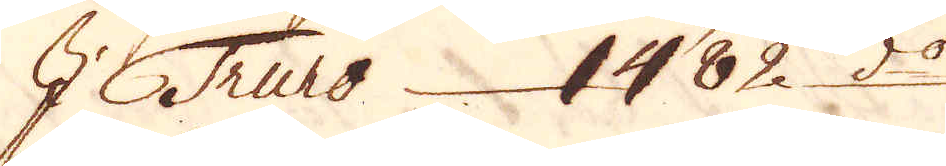I Truro 1482 d:o
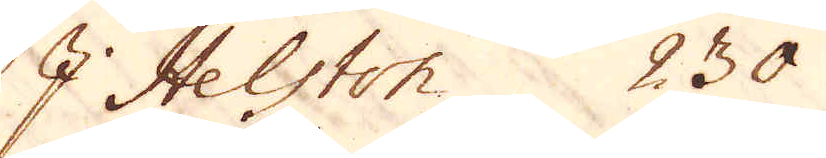I Helston 230
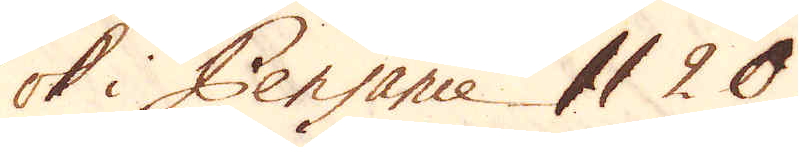ok i Pensance 1120
